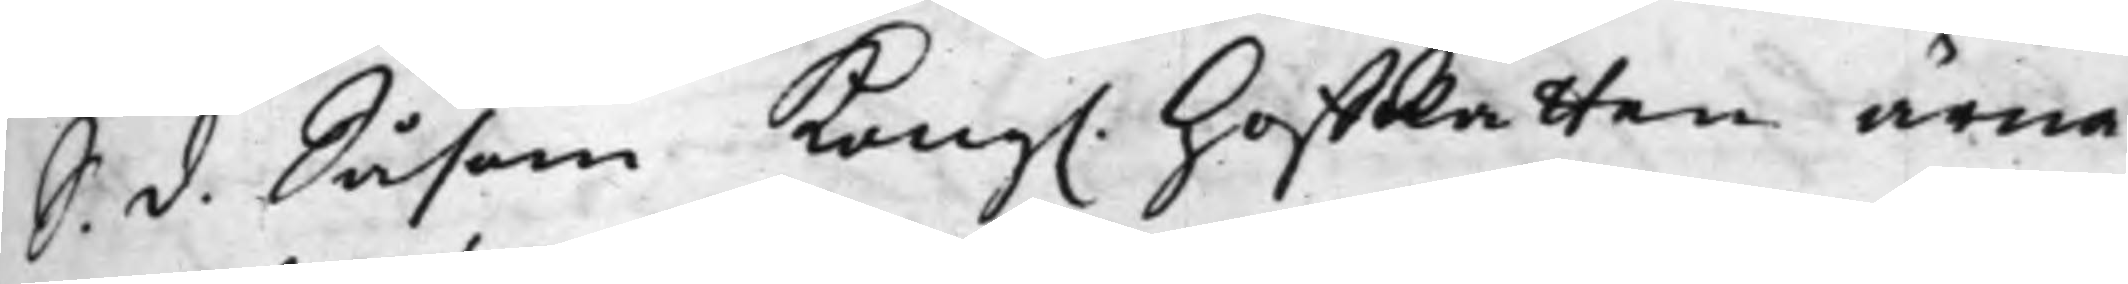S. d. Såsom Kong. HoffRätten ärna¬
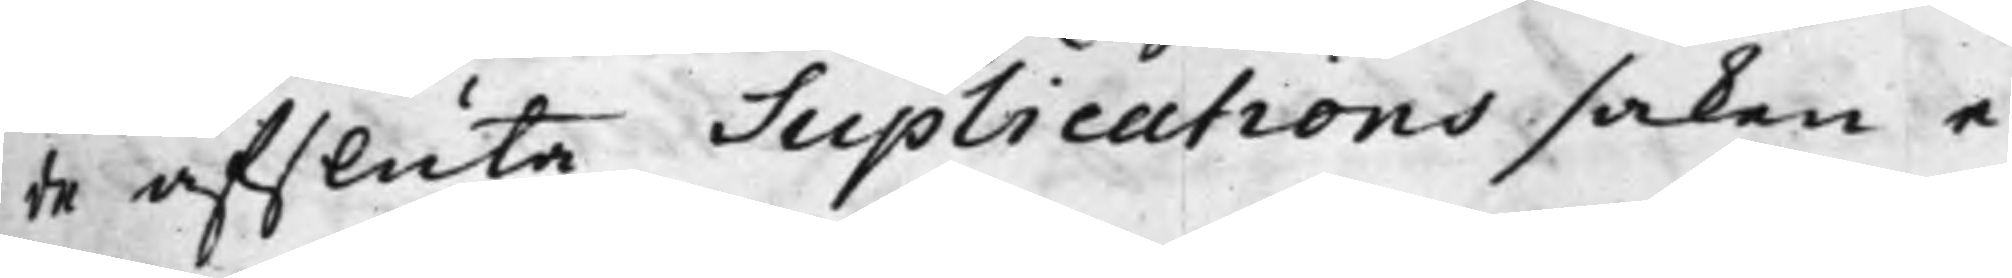de afsluta Suplications saken e¬
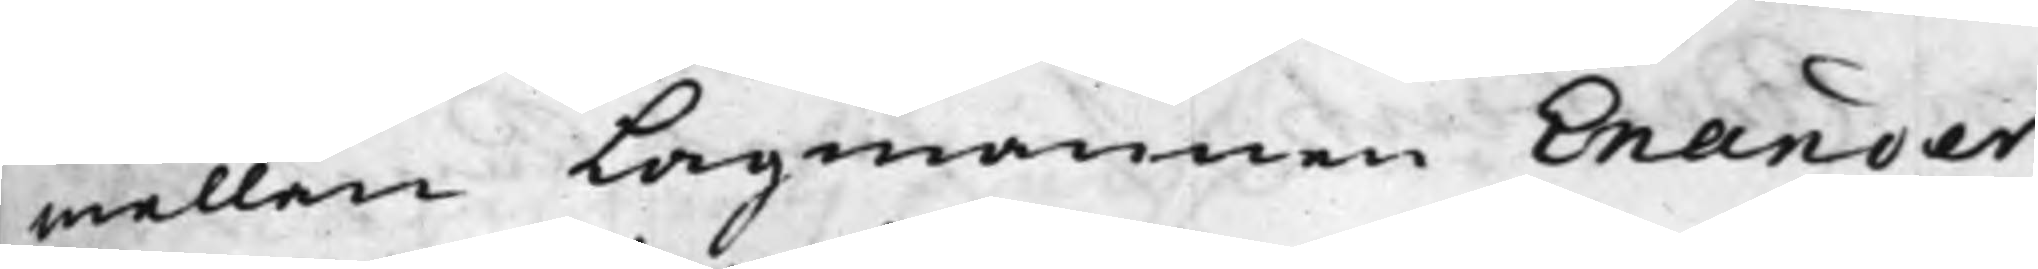mellan Lagmannen Enander¬
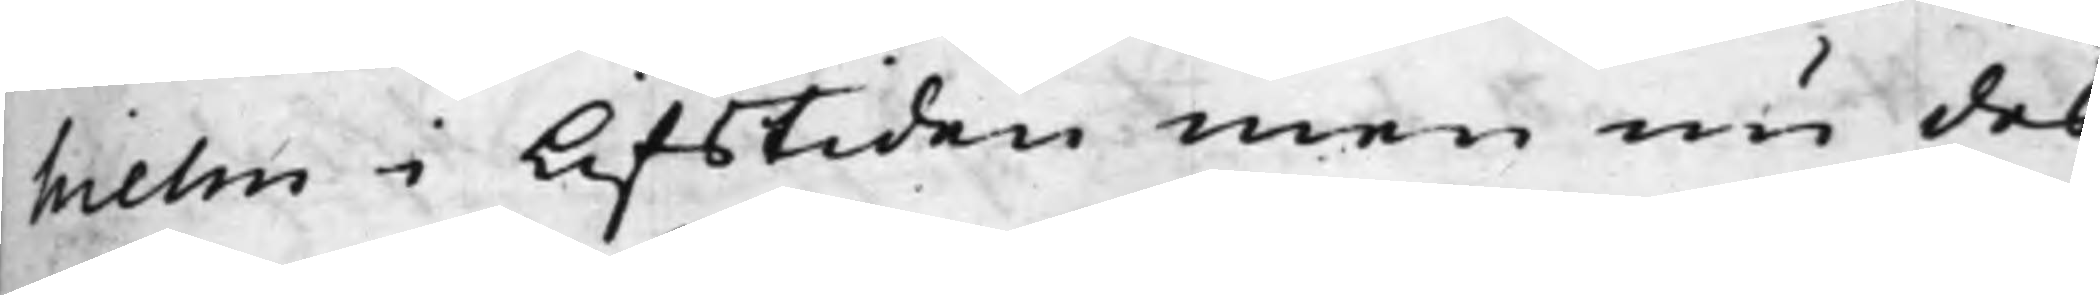hielm i Lifstiden men nu des
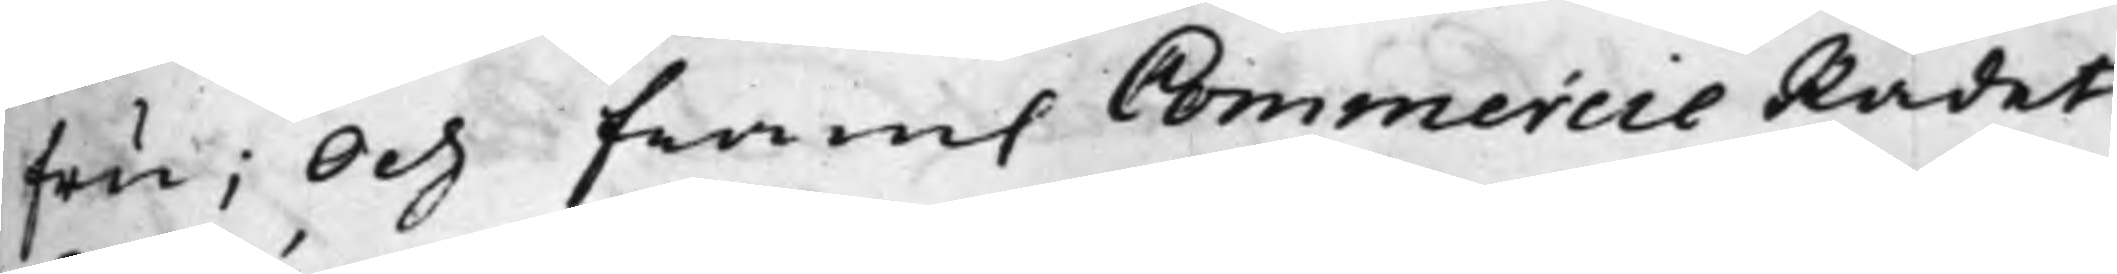Fru; Och fram. Commercie Rådet
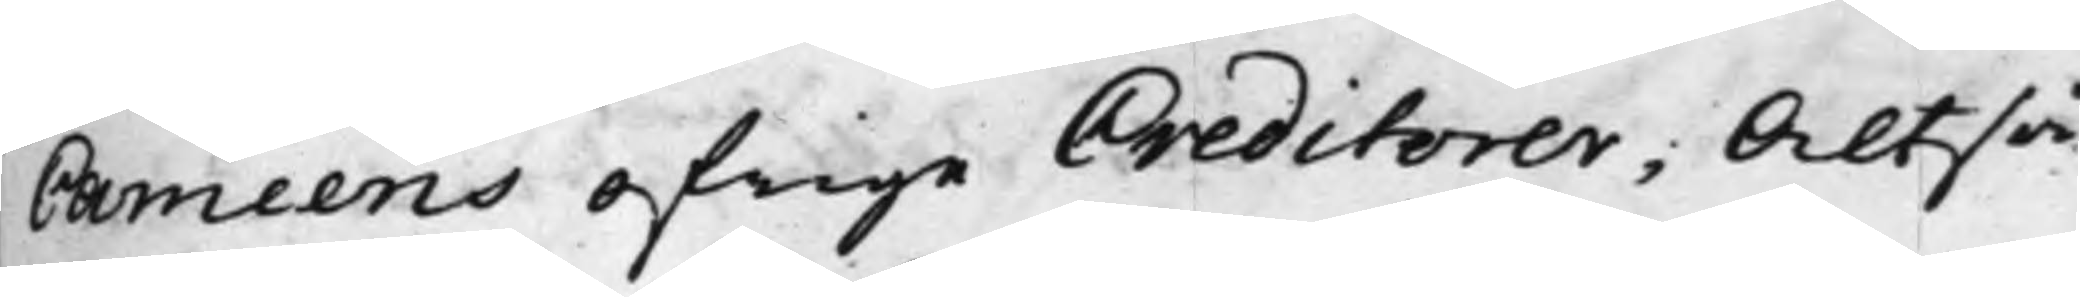Caméens ofrige Creditorer; Altså
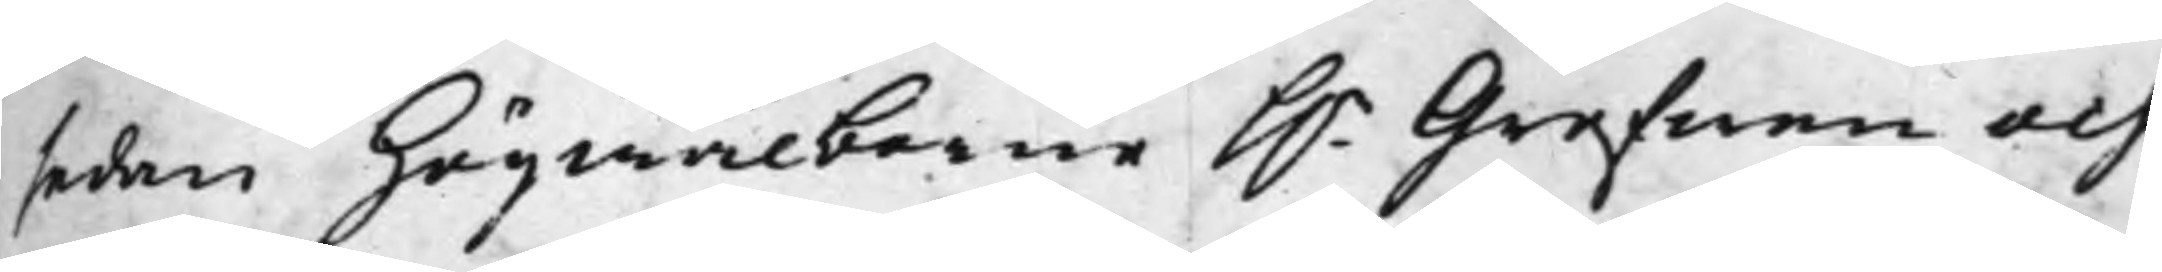sedan Högwälborne h.r Grefwen och
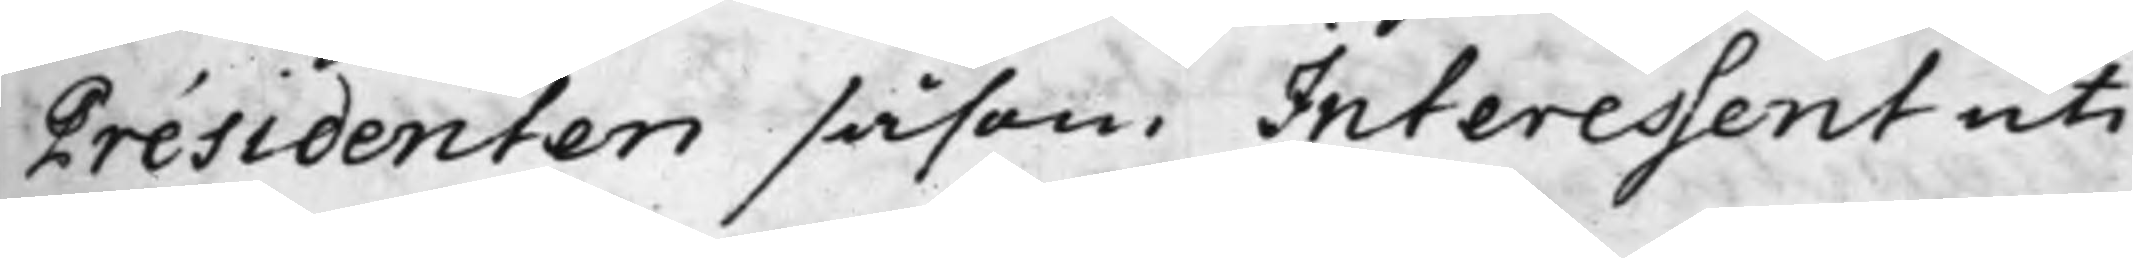Présidenten såsom Interessent uti
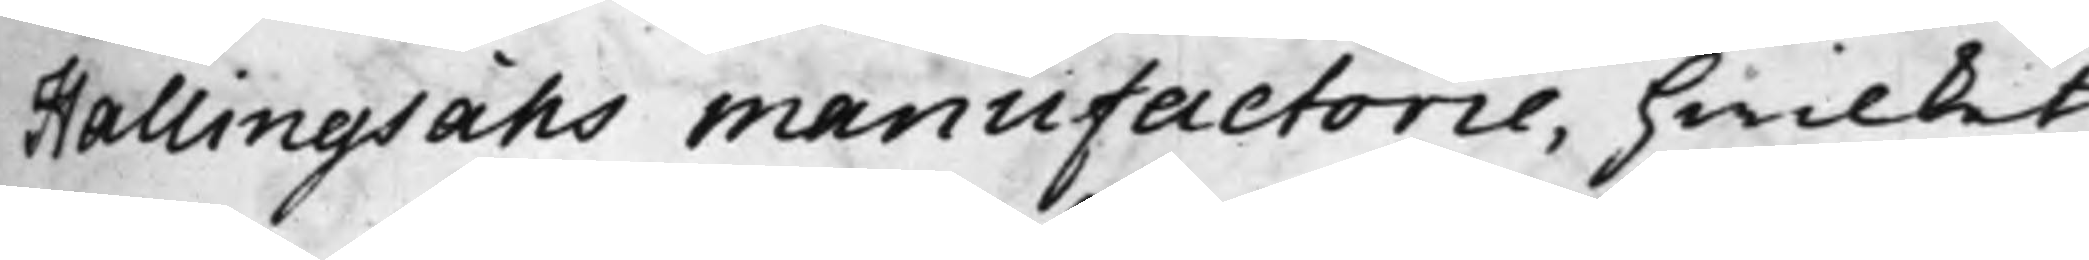Hallingsåhs manufactorie, hwilket
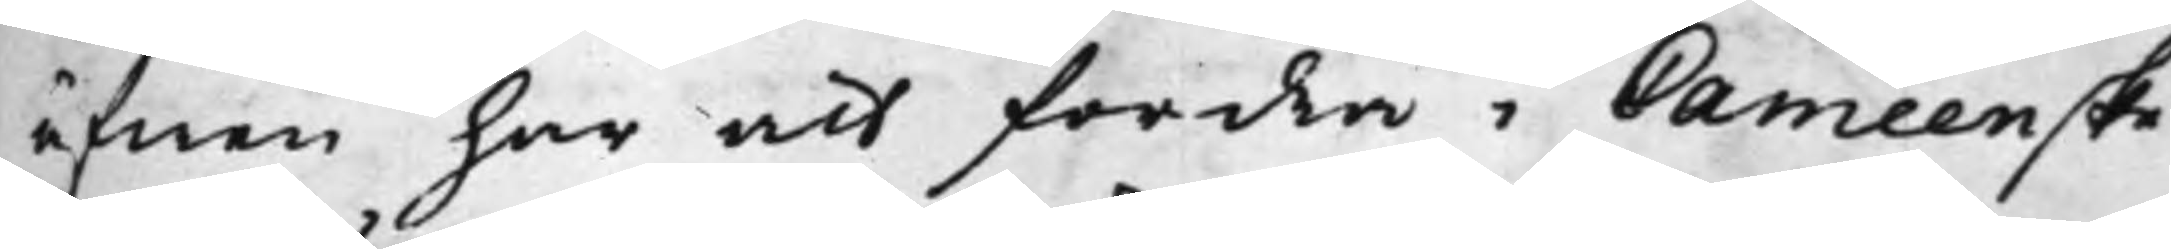äfwen har att fordra i Caméenske
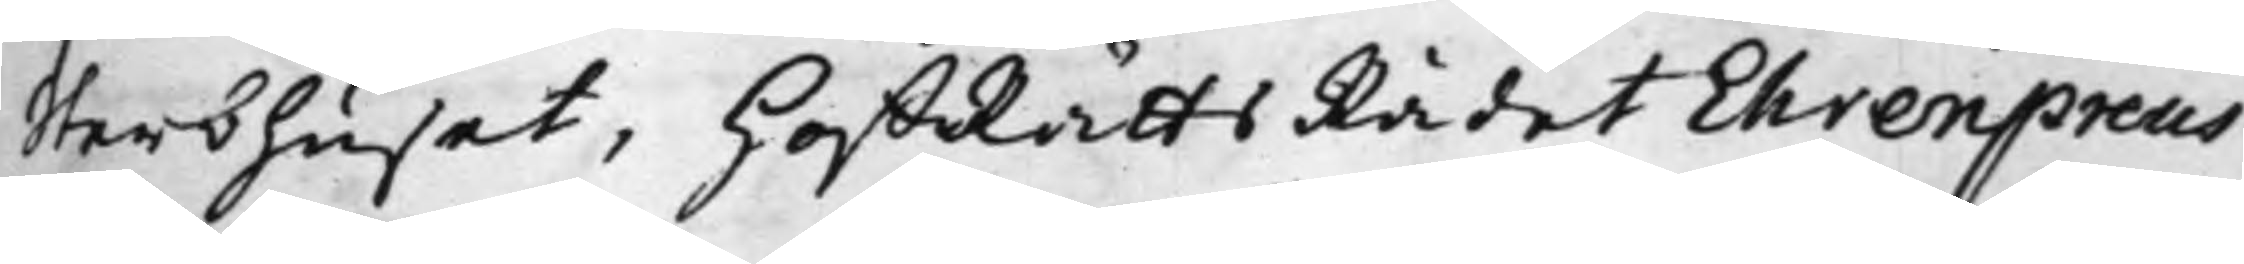Sterbhuset, HoffRättsRådet Ehrenpreus
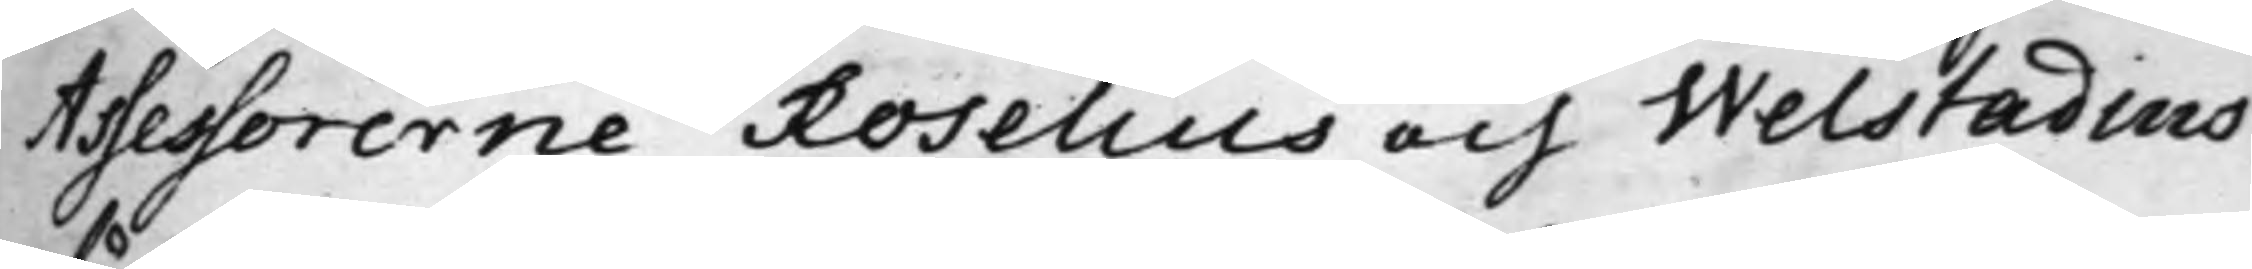Assessorerne Roselius och Welstadius
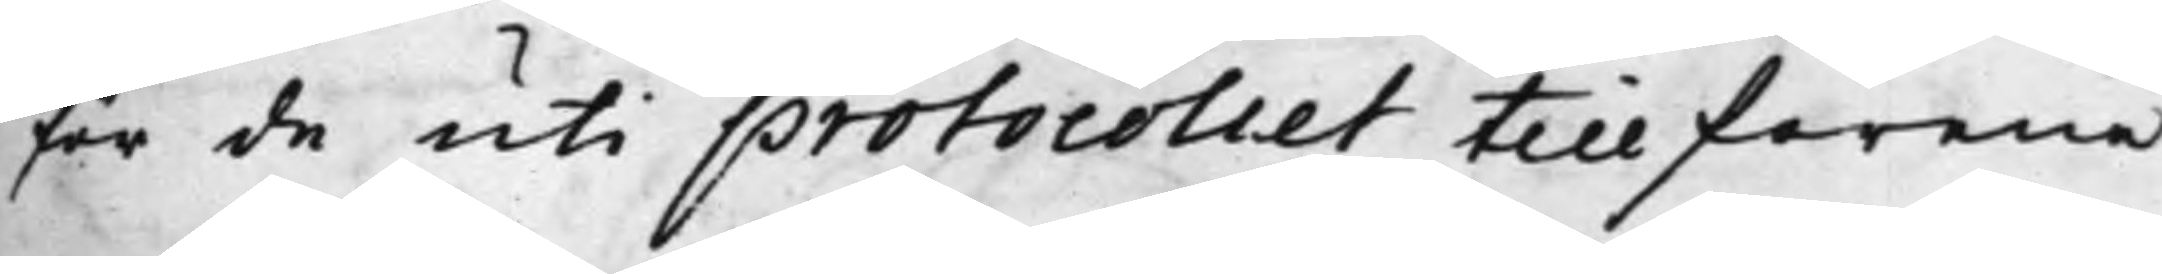för de uti protocollet tillförene
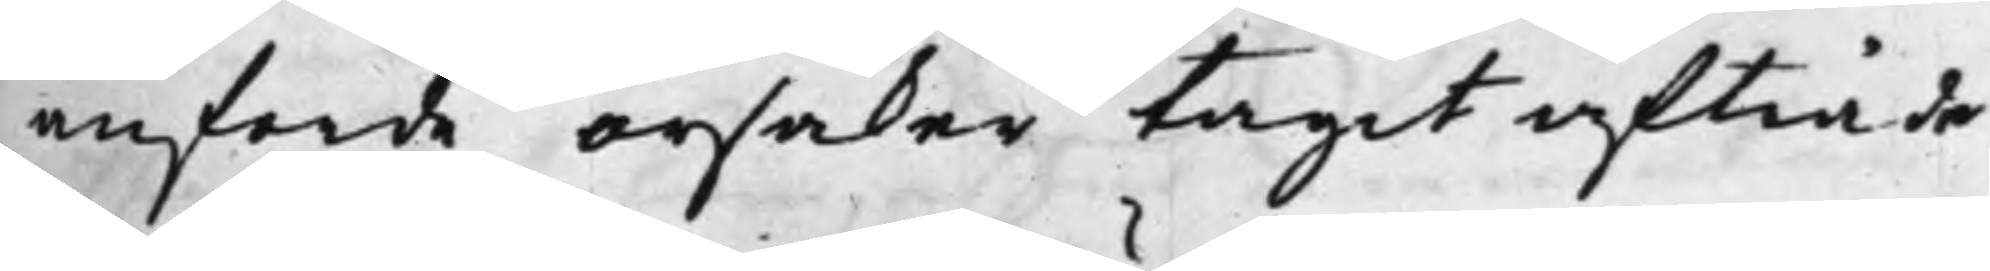anforde orsaker tagit afträde,
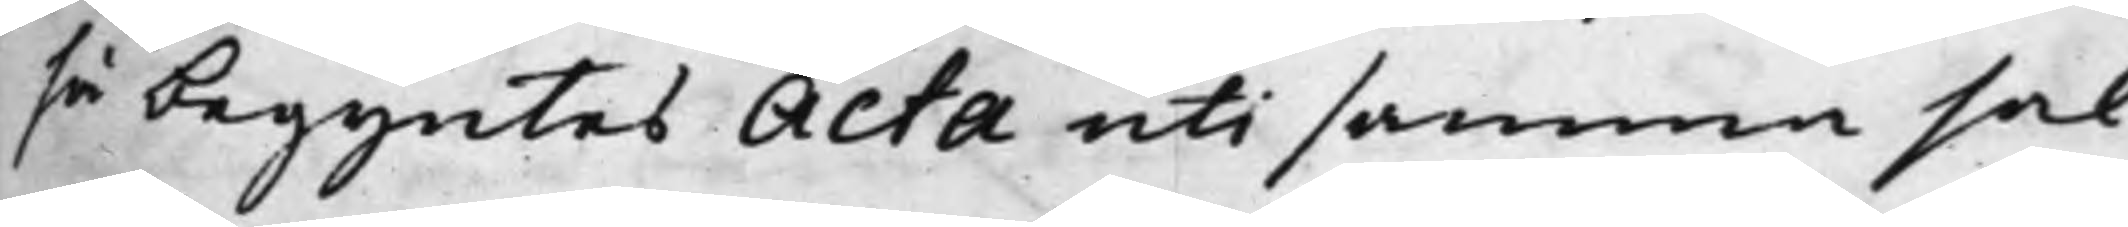så begyntes Acta uti samma sak
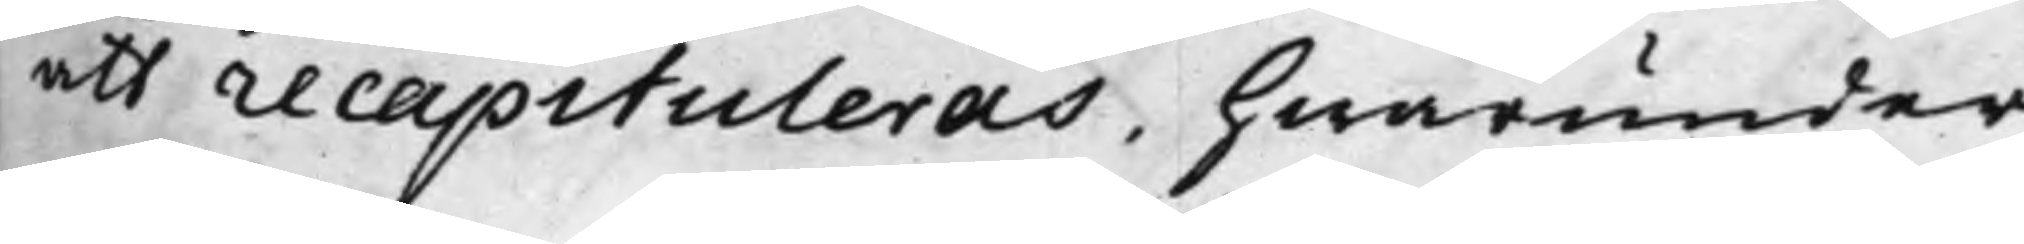att recapituleras, hwarunder
